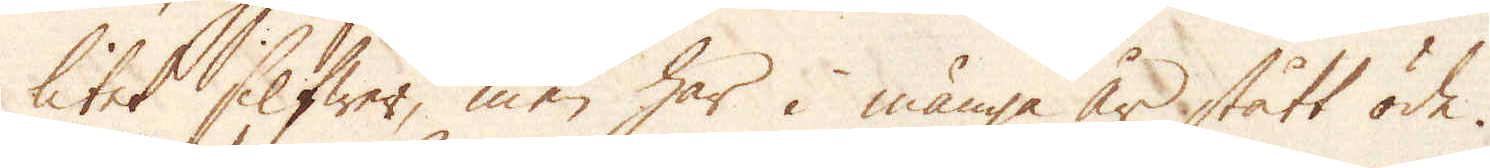litet Silfwer, men har i många år stått öde.
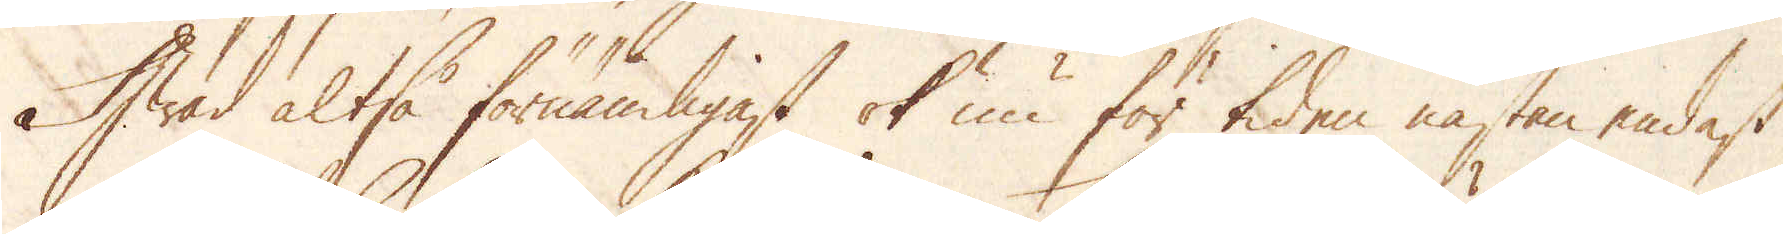Hwad altså förnämligast ok nu för tiden nästan endast
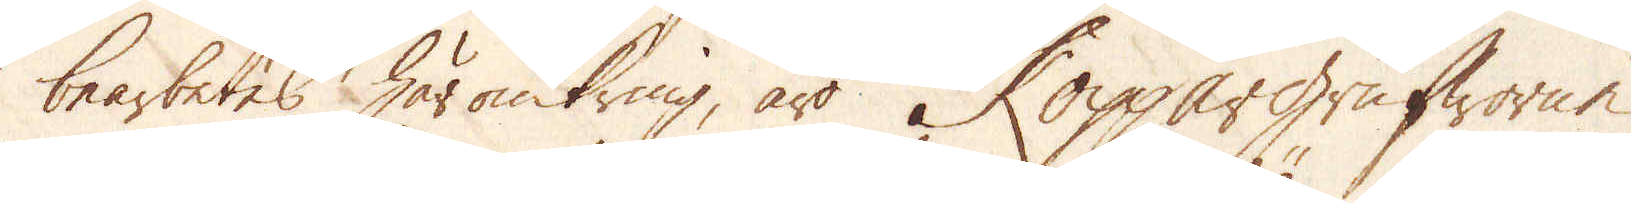bearbetes häromkring, äro Koppargrufworne,
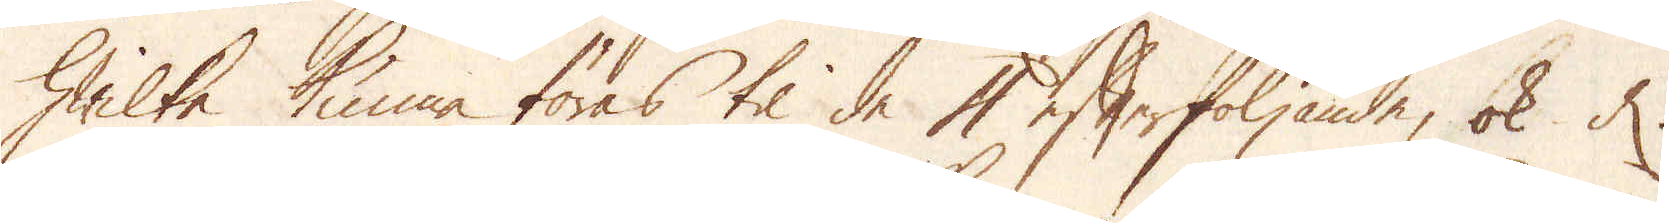hwilka kunna föras til de 4 efterföljande, ok d.
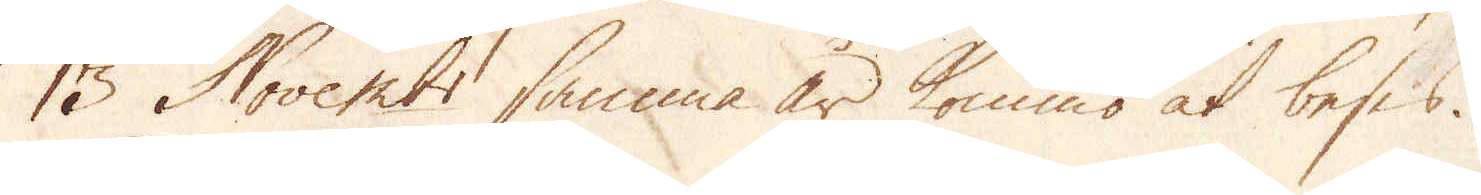13 Novem:br samma år kommo at beses.
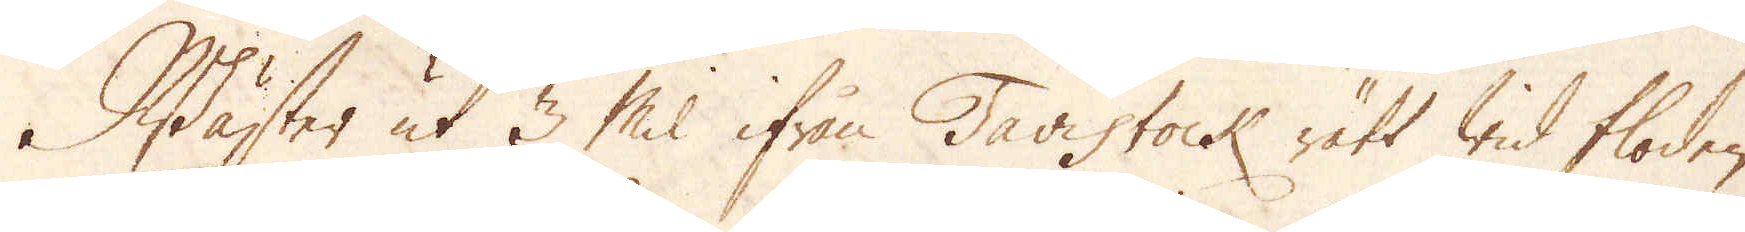Wäster ut 3 Mil ifrån Tavistock rätt wid floden
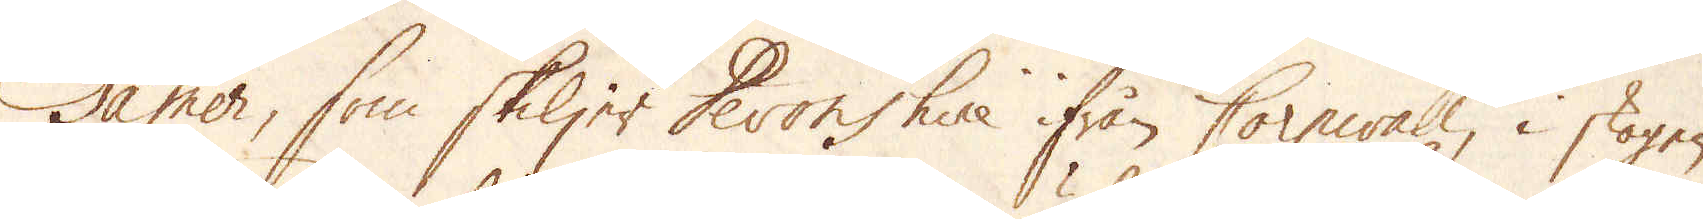Tamer, som skiljer Devonshire ifrån Cornwall, i skogen
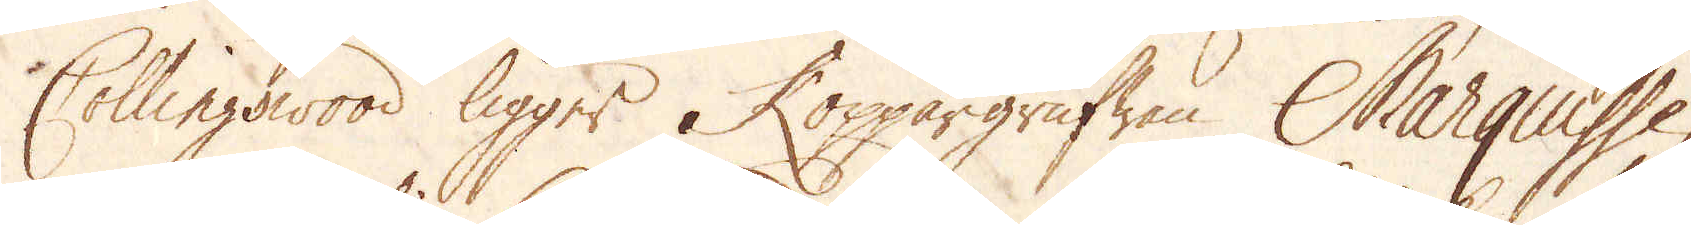Collingswood ligger Koppargrufwan Marquisse,
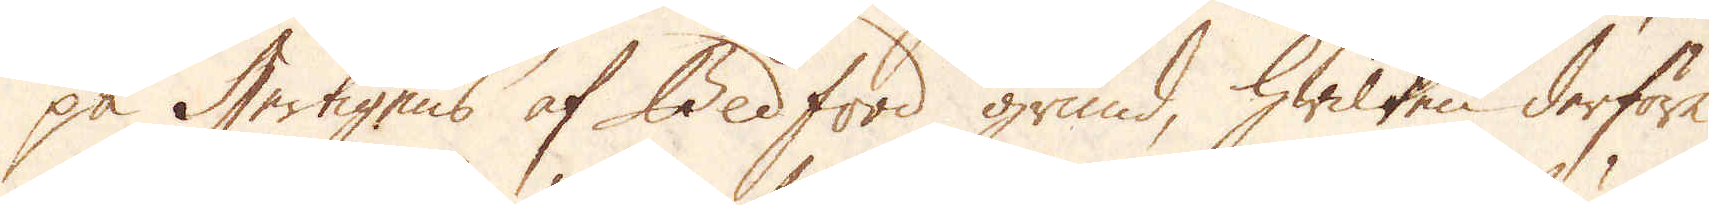på Hertigens af Bedford grund, hwilken derföre
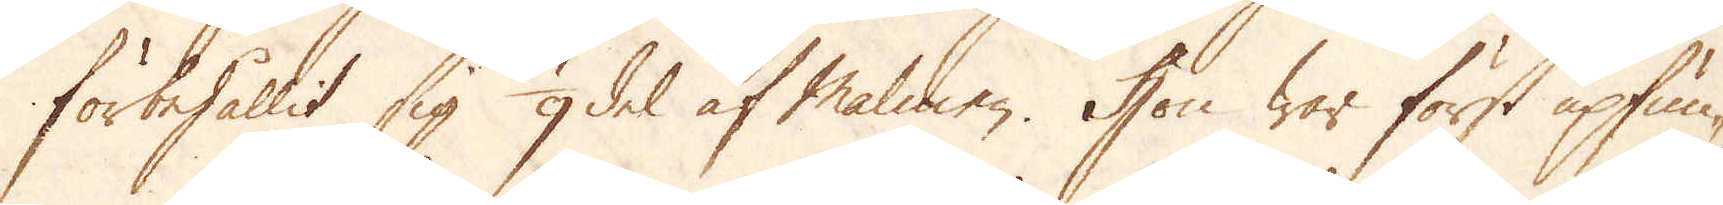förbehållit sig 1/9 del af Malmen. Hon war först upfun-
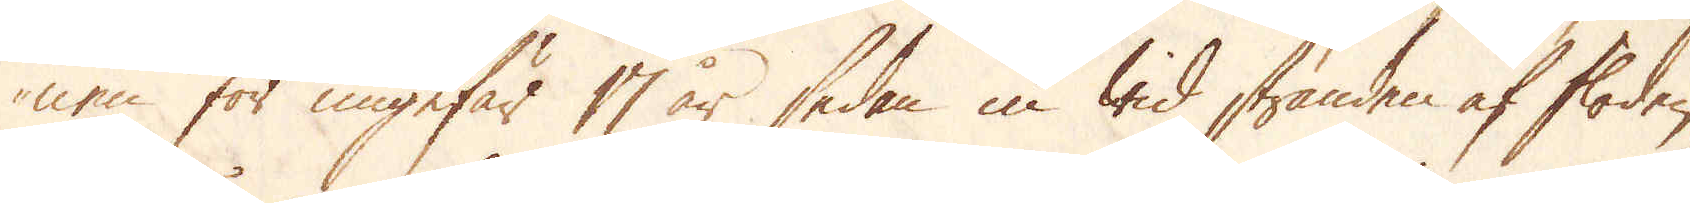nen för ungefär 17 år sedan in wid stranden af floden,
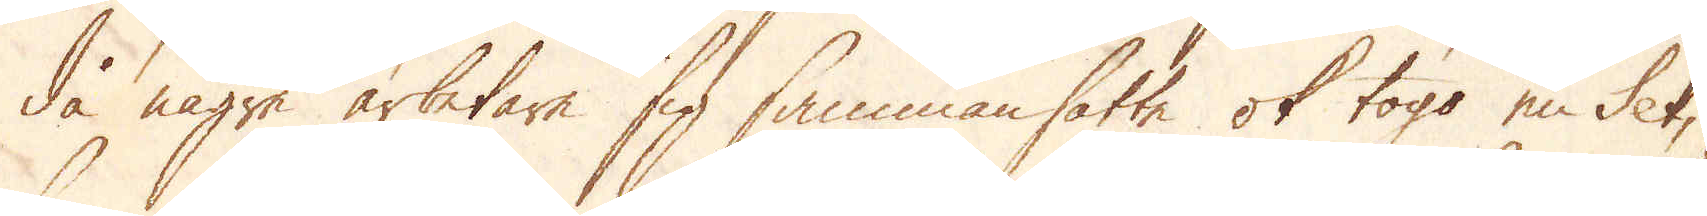då några arbetare sig sammansatte ok togo en Set,
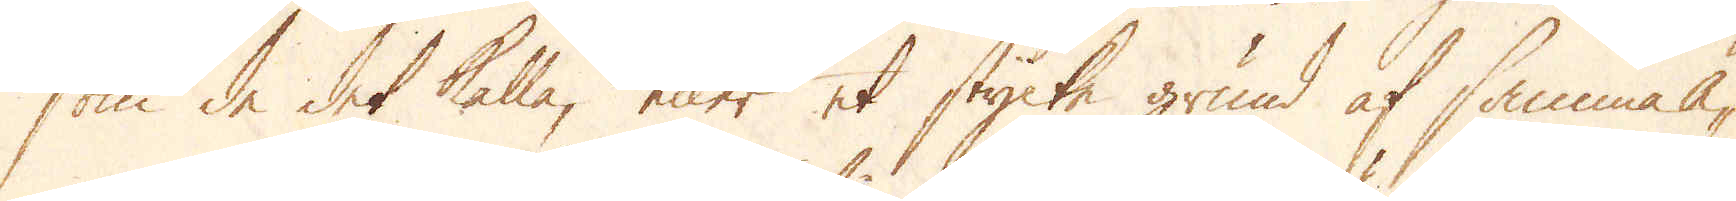som de det kalla, eller et stycke grund af samma Ä-
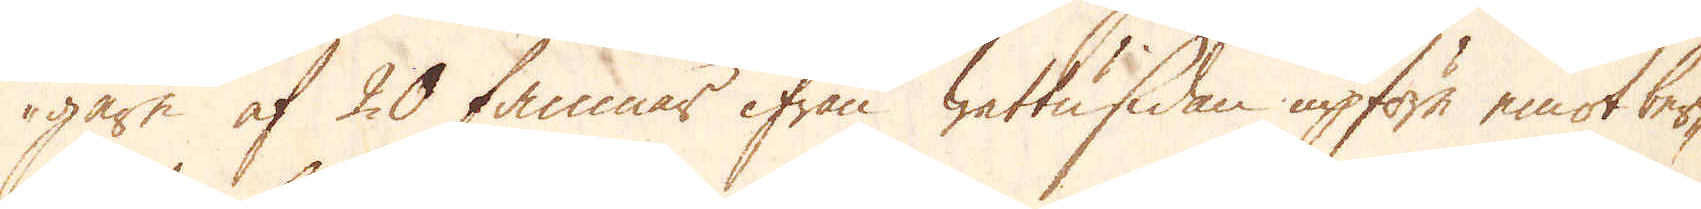gare af 20 famnar ifrån wattusidan upföre emot ber-
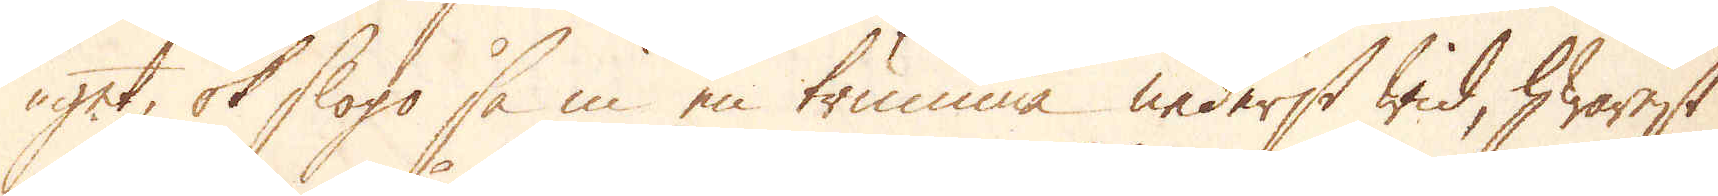get ok slogo så in en trumma nederst wid, hwarest
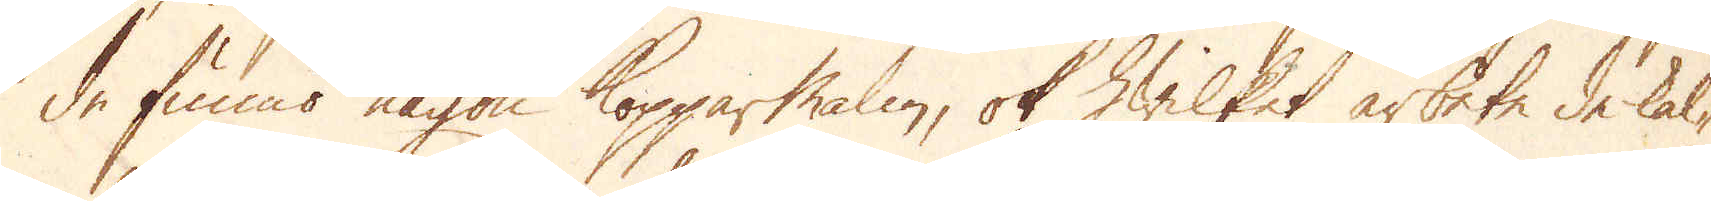de funno någon Kopparmalm, ok hwilket arbete de kal-
